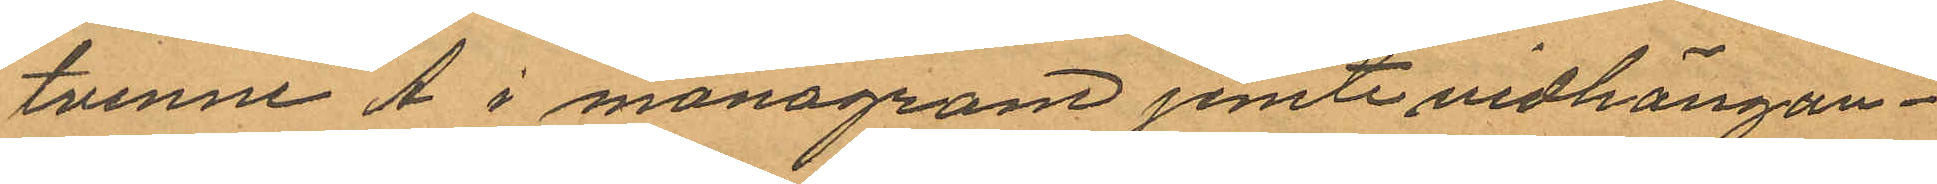tvenne A i monogram jemte vidhängan¬
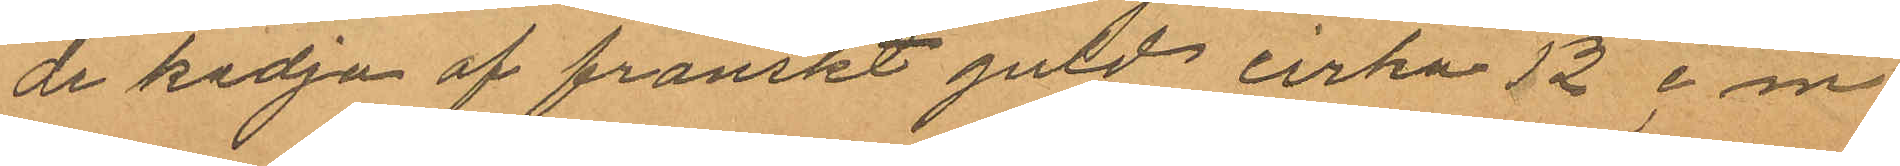de kedja af franskt guld cirka 12 cm
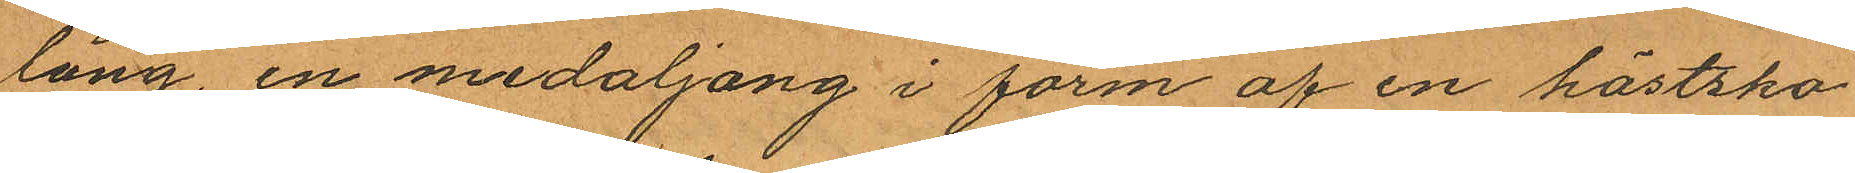lång, en medaljong i form af en hästsko
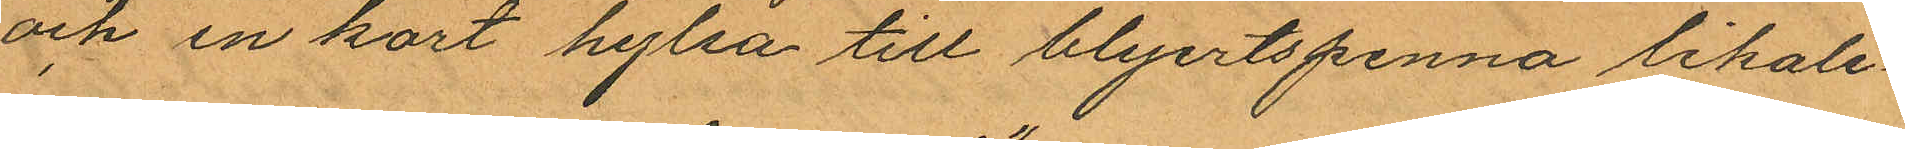och en kort hylsa till blyertspenna likale¬
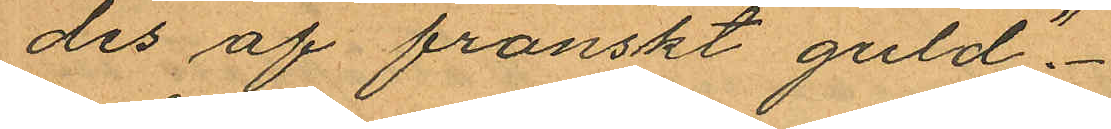des af franskt guld".
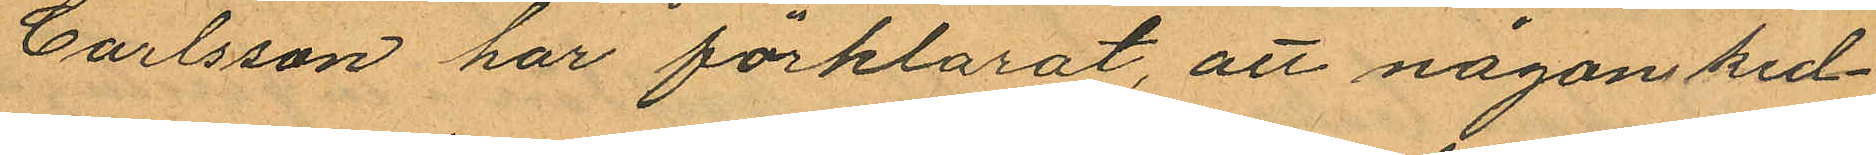Carlsson har förklarat, att någon ked¬
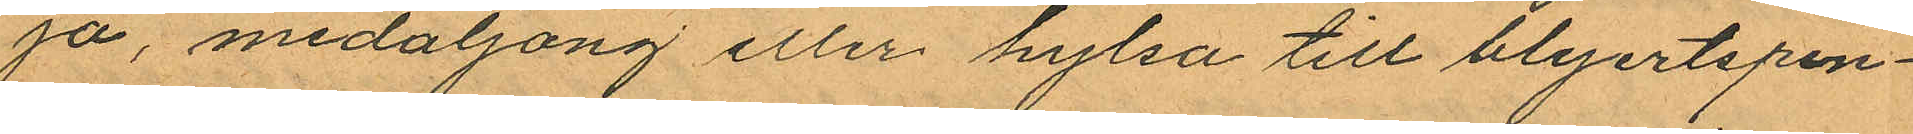ja, medaljong eller hylsa till blyertspen¬
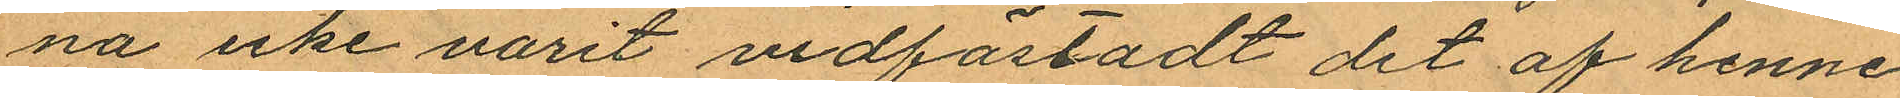na icke varit vidfästadt det af henne
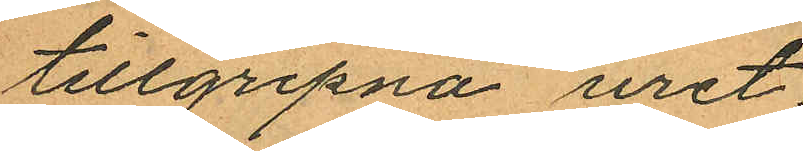tillgripna uret.
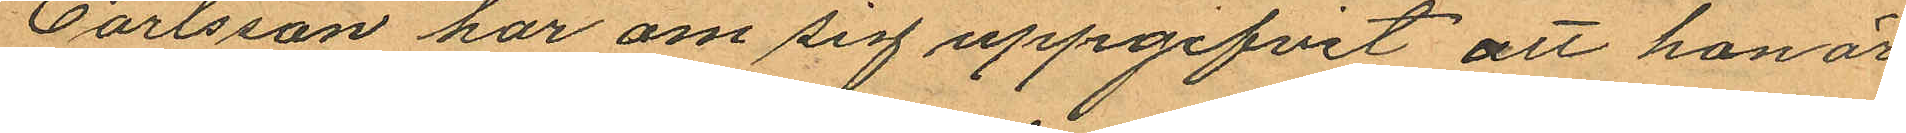Carlsson har om sig uppgifvit att hon är
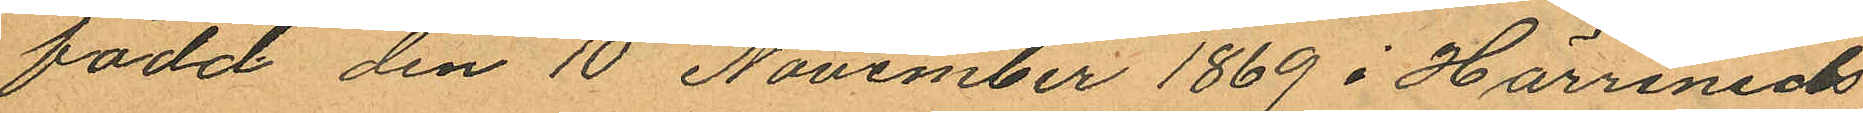född den 10 November 1869 i Härreneds
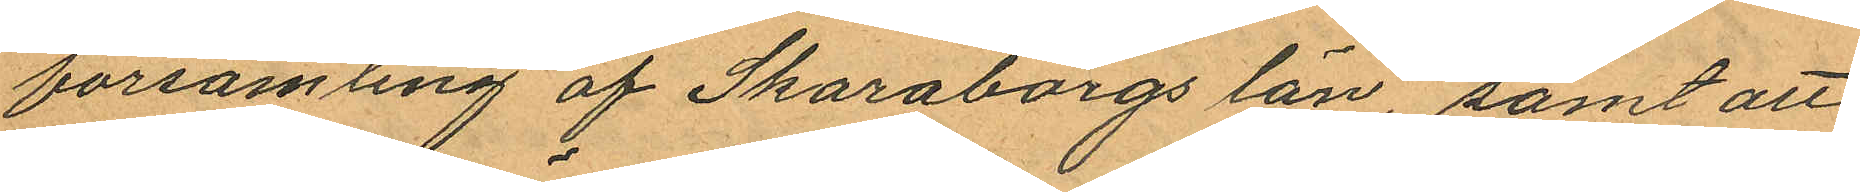församling af Skaraborgs län, samt att
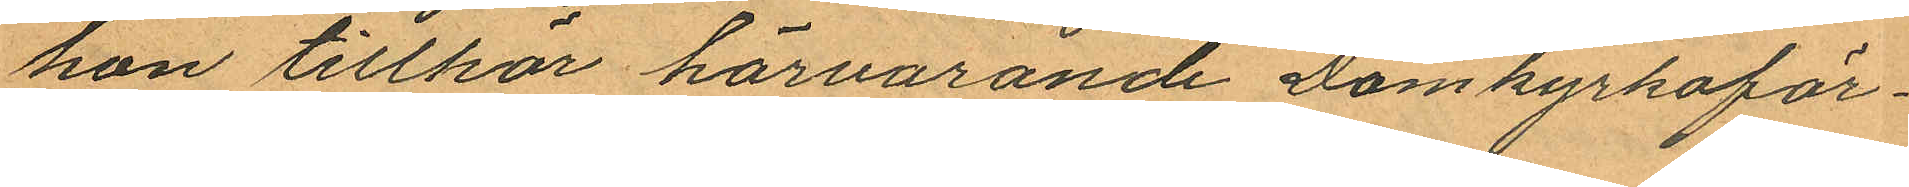hon tillhör härvarande Domkyrkoför¬
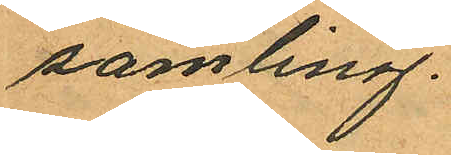samling.
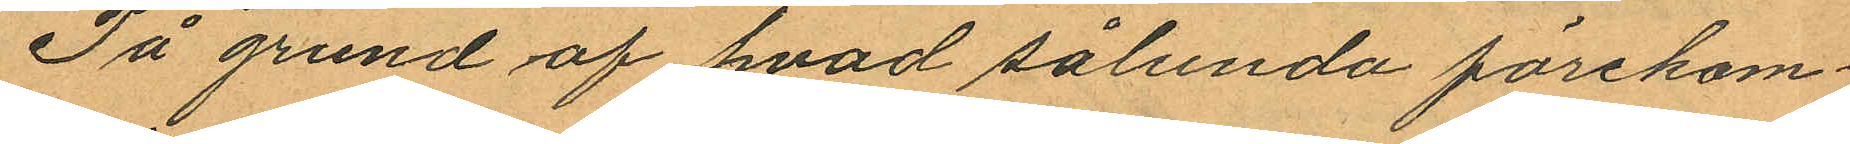På grund af hvad sålunda förekom¬
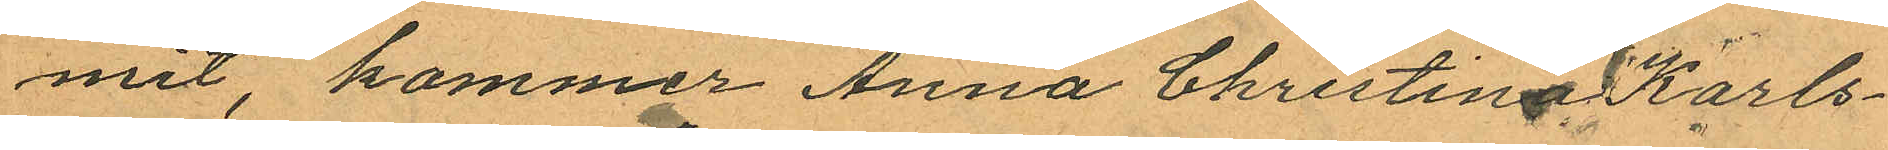mit, kommer Anna Christina Karls¬
